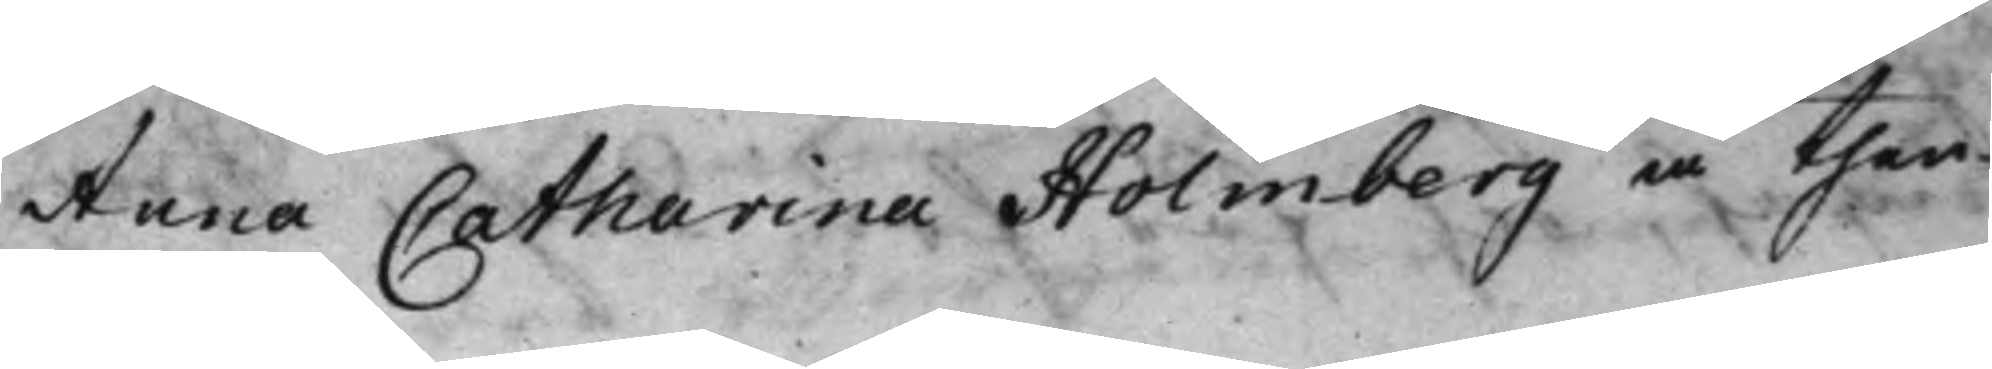Anna Catharina Holmberg å then
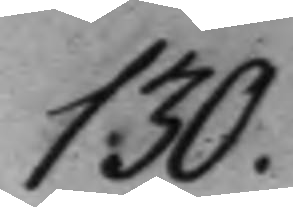130.
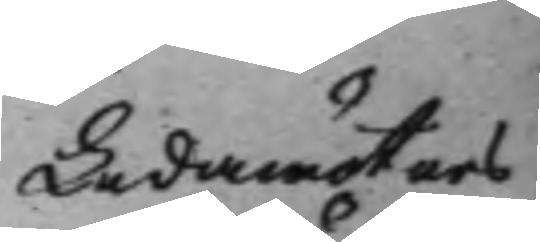Ledamöters
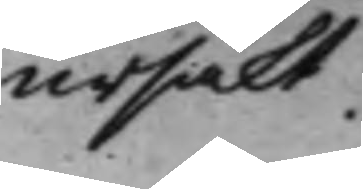ursäkt.
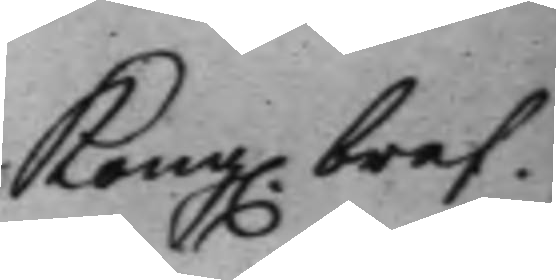Kong. bref.
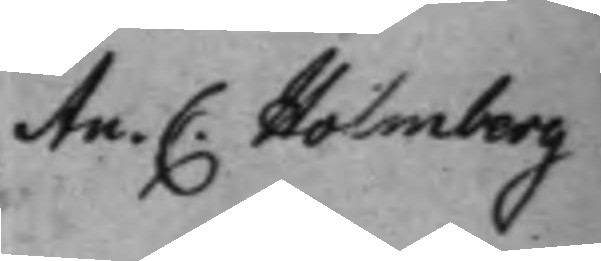An.. C. Holmberg
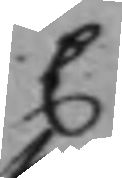C
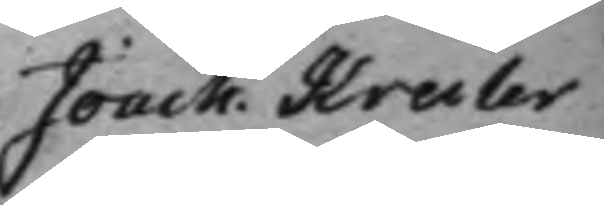Joach. Kreiler
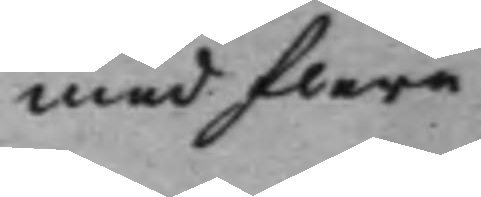med flera
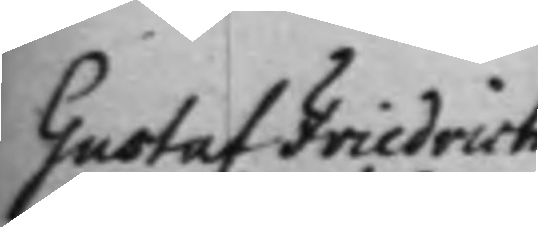Gustaf Friedrich
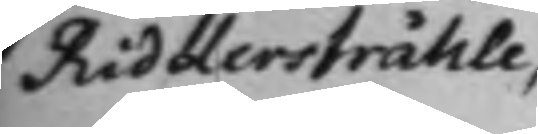Riddersstråhle;
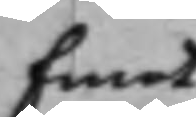Emot
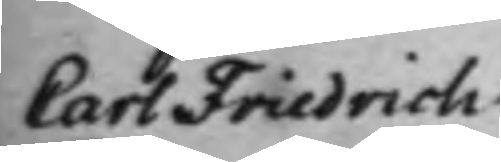Carl Friedrich
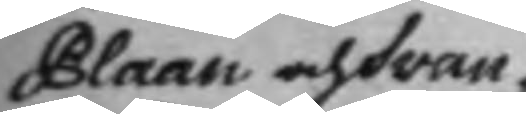Plaan och Svan¬
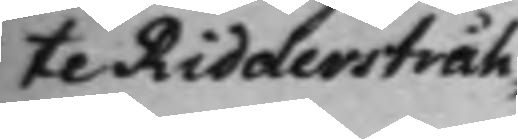te Ridderstråh¬
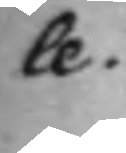le.
